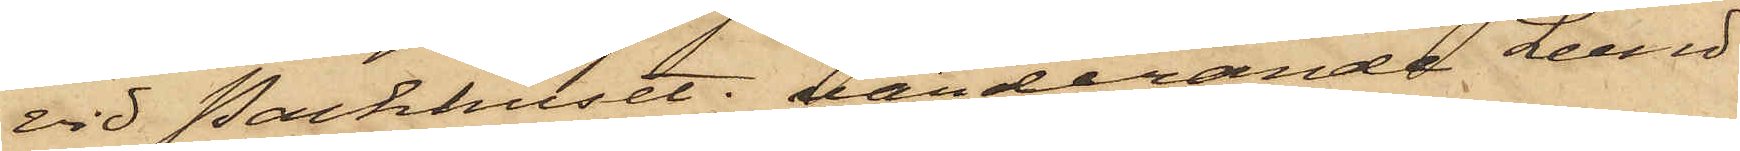vid Packhuset; värderande Lund
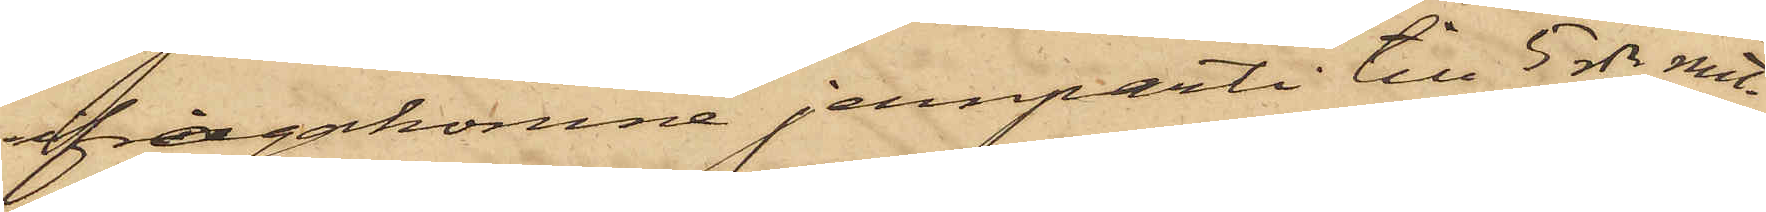ifrågakomne jernparti till 5 rdr rmt.
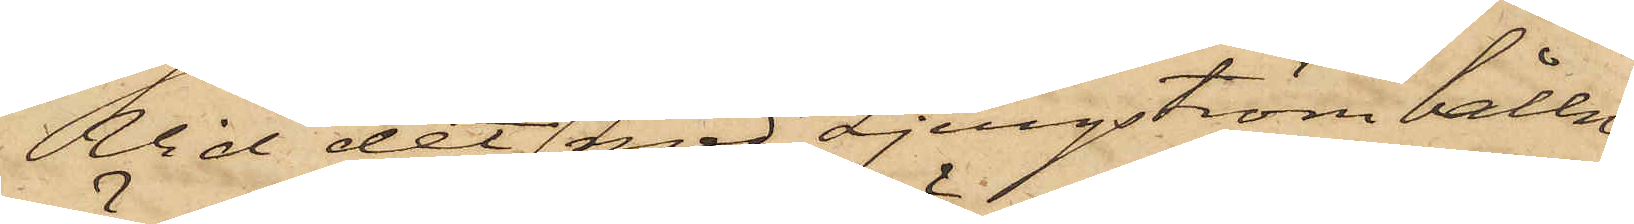Vid det med Ljungström hållne
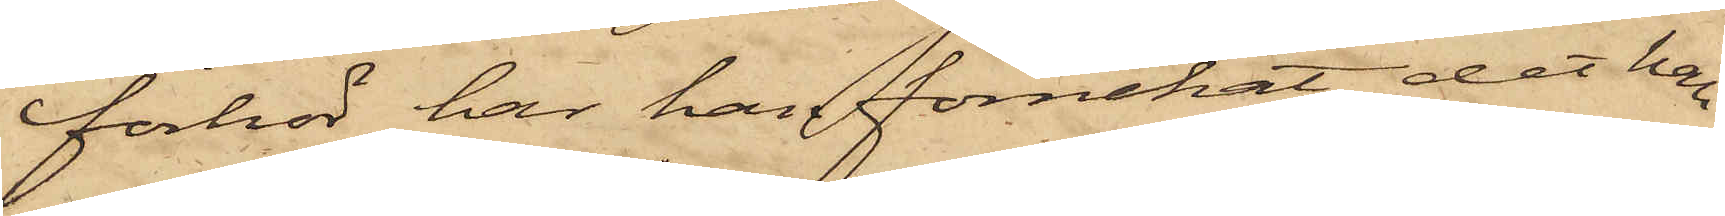förhör har han förnekat det han
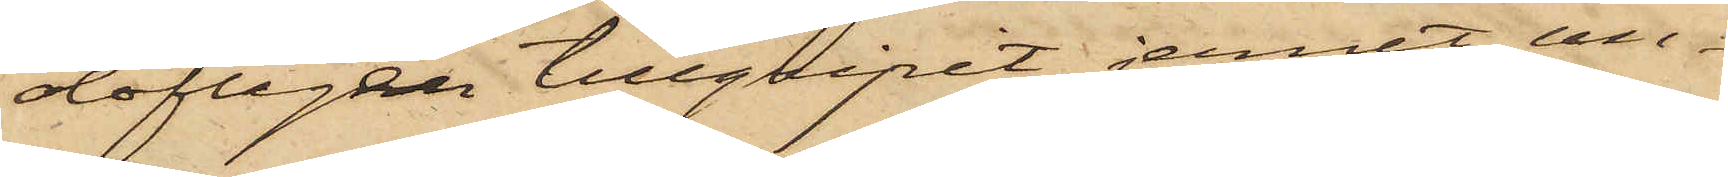olofligen tillgripit jernet, un¬
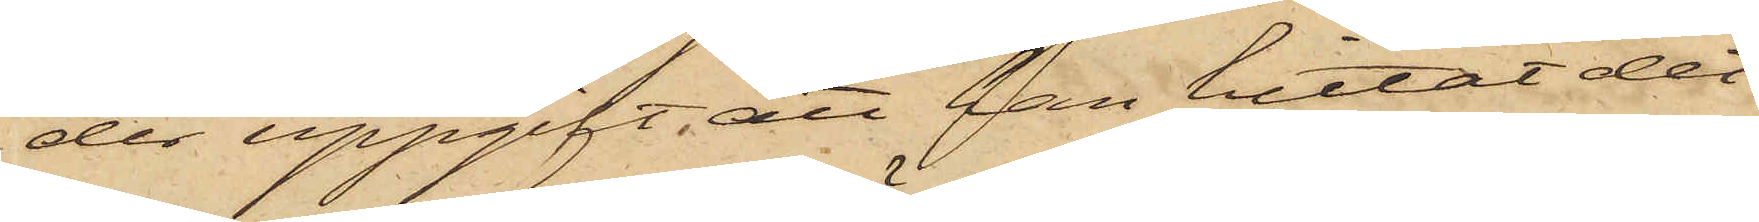der uppgift, att han hittat det¬
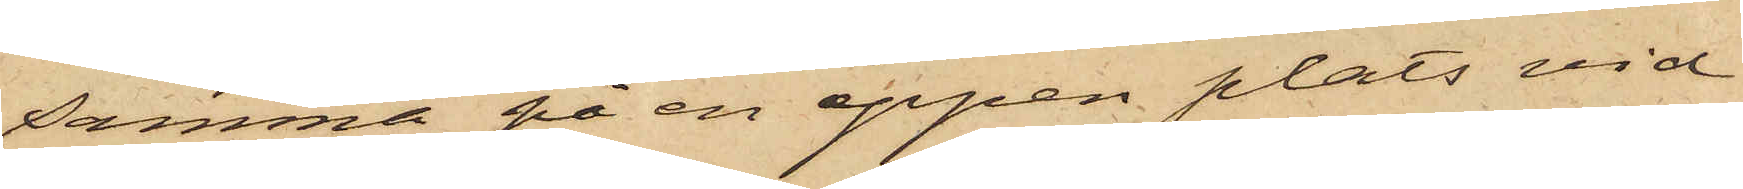samma på en öppen plats vid
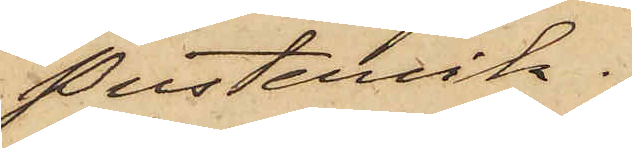Pustervik.
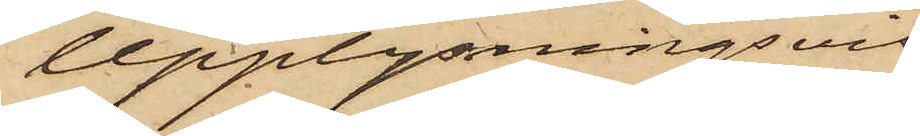Upplysningsvis
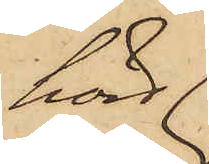hörd
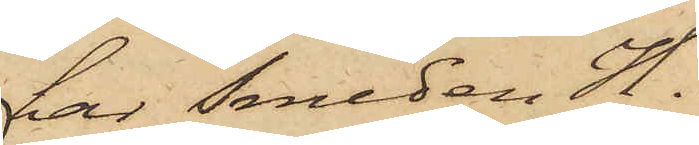har Smeden H.
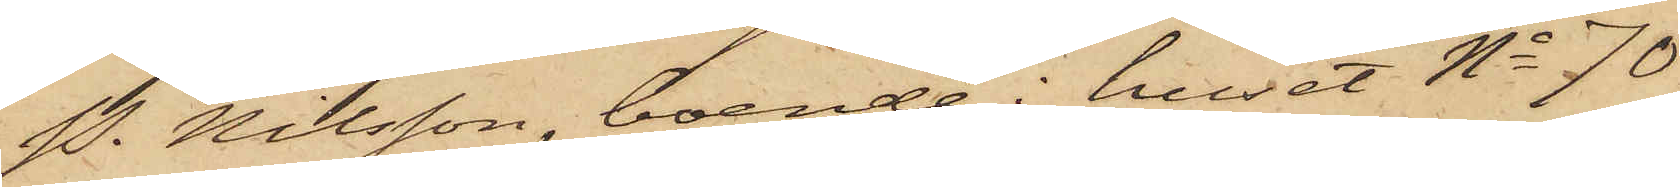P. Nilsson, boende i huset No 70
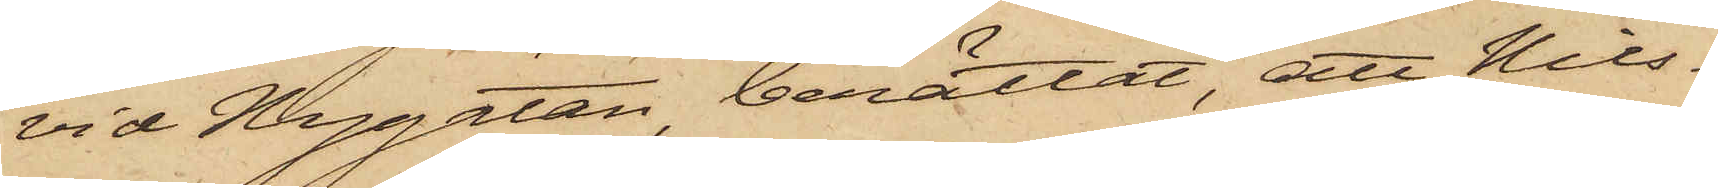vid Nygatan, berättat, att Nils¬
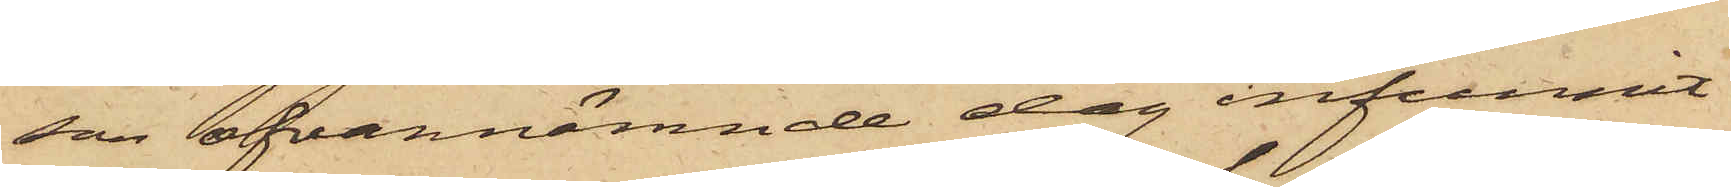son ofvannämnde dag infunnit
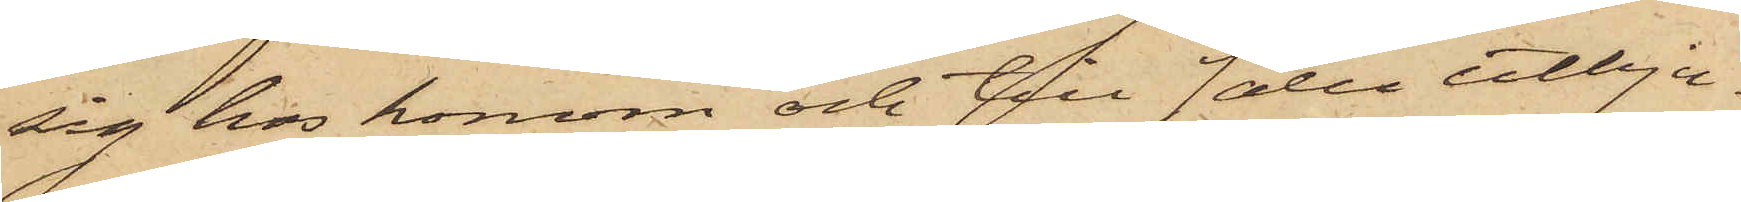sig hos honom och till salu utbju¬
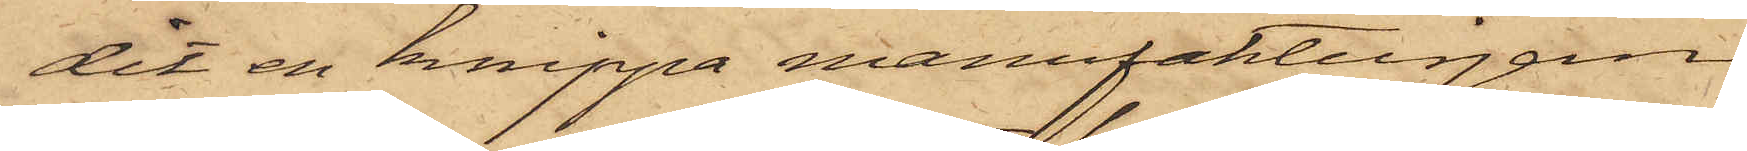dit en knippa manufakturjern,
